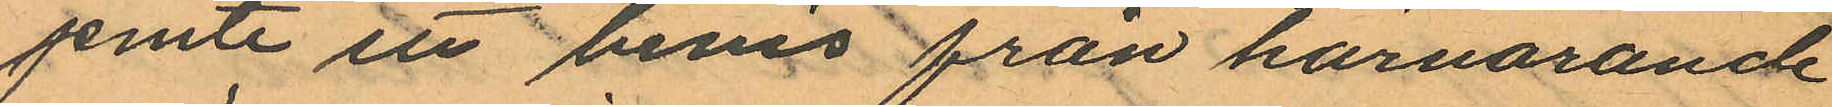Jemte ett bevis från härvarande
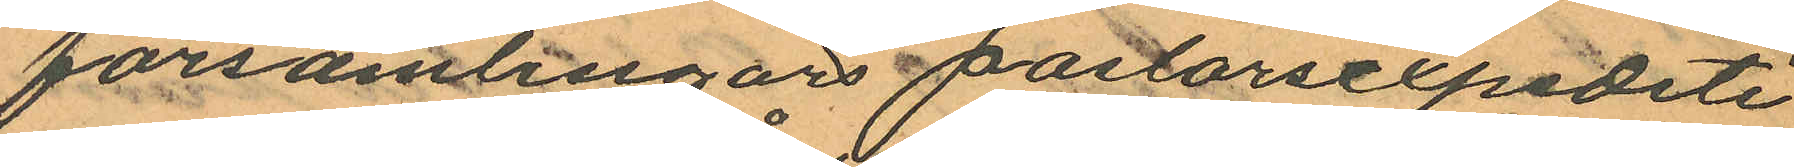församlingars pastorsexpediti
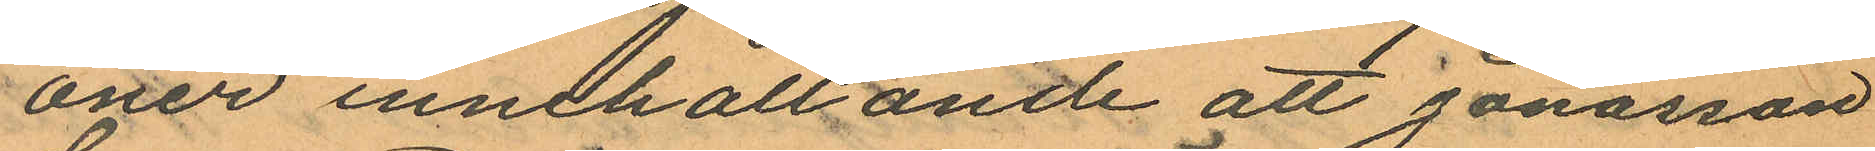oner innehållande att Jonasson
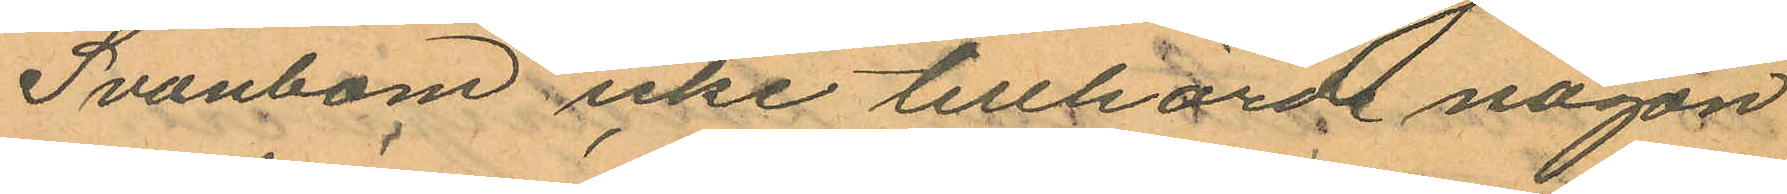Svanbom icke tillhörde någon
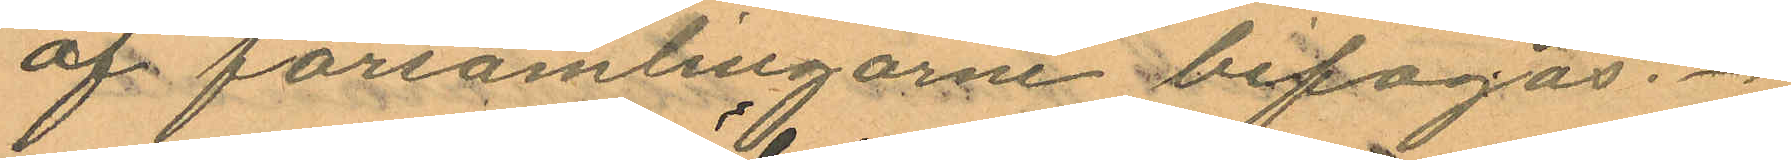af församlingarne bifogas.
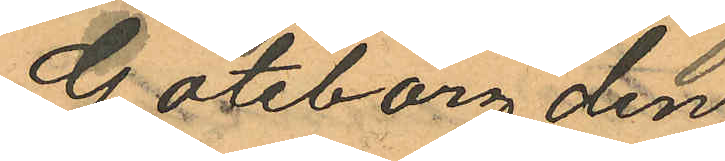Göteborg den
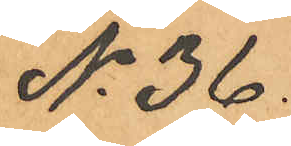No 36.
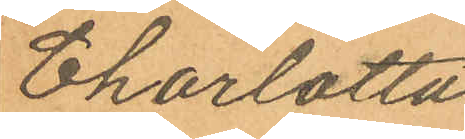Charlotta
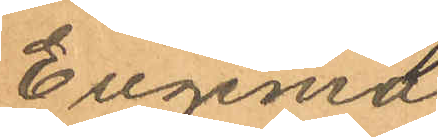Eugenia
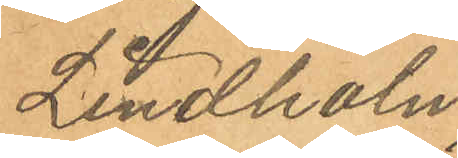Lindholm
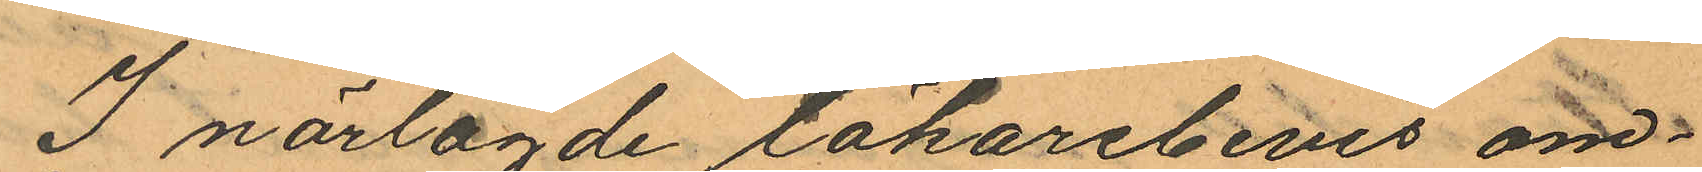I närlagde läkarebevis om¬
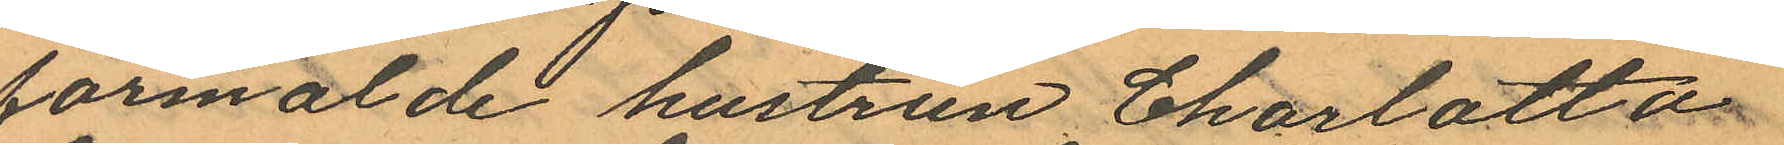förmälde hustrun Charlotta
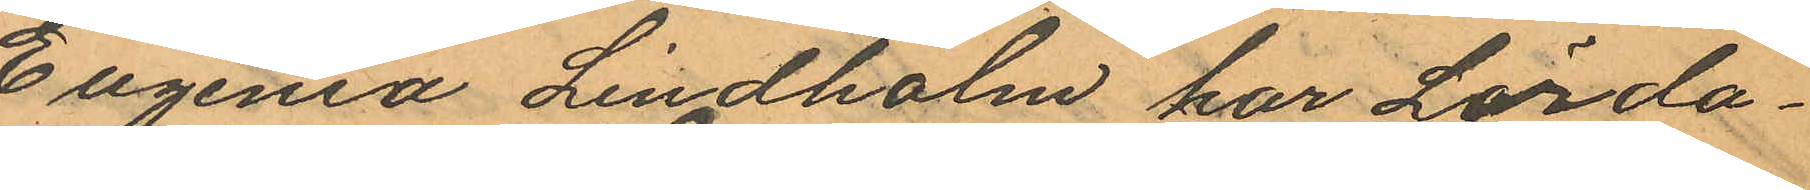Eugenia Lindholm har Lörda¬
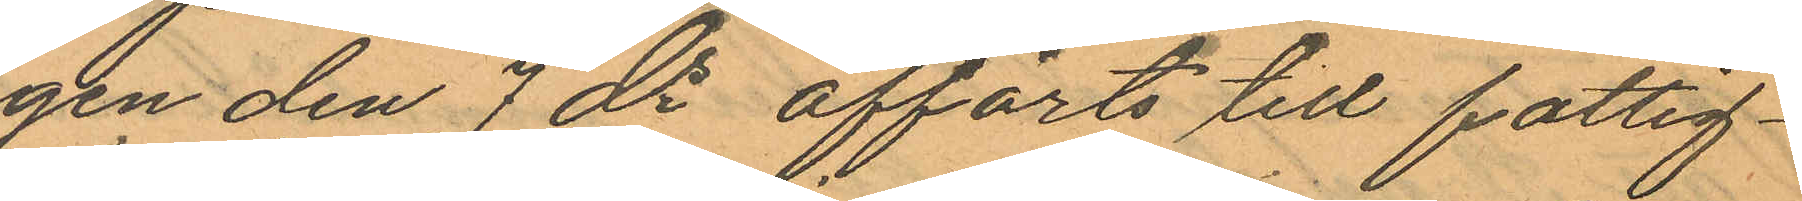gen den 7 ds afförts till fattig¬
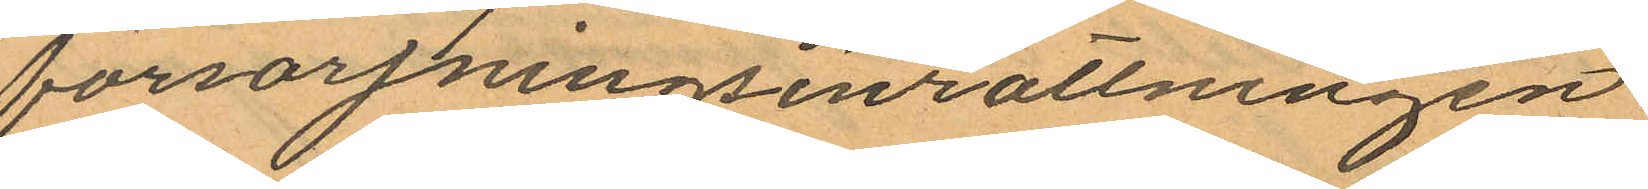försörjningsinrättningen
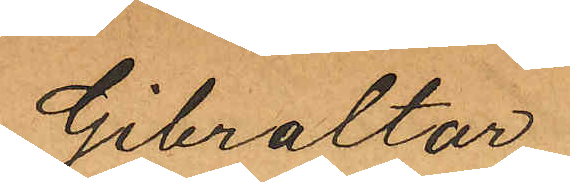Gibraltar.
